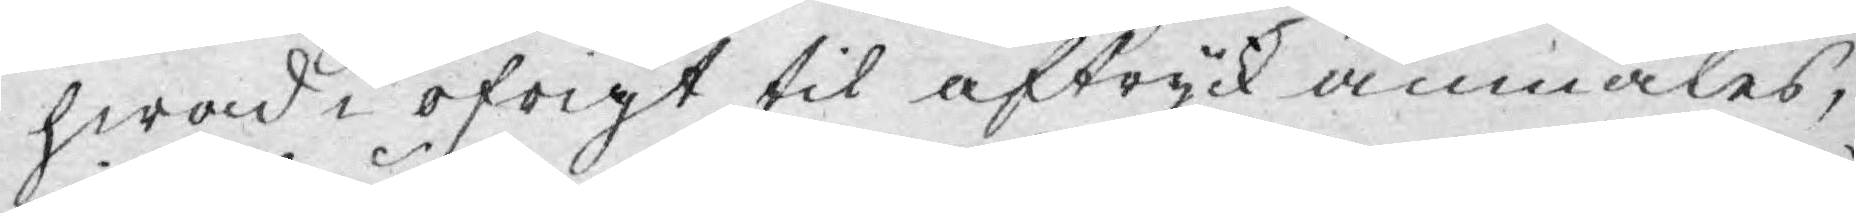hwad i öfrigt til aftryck anmäles,
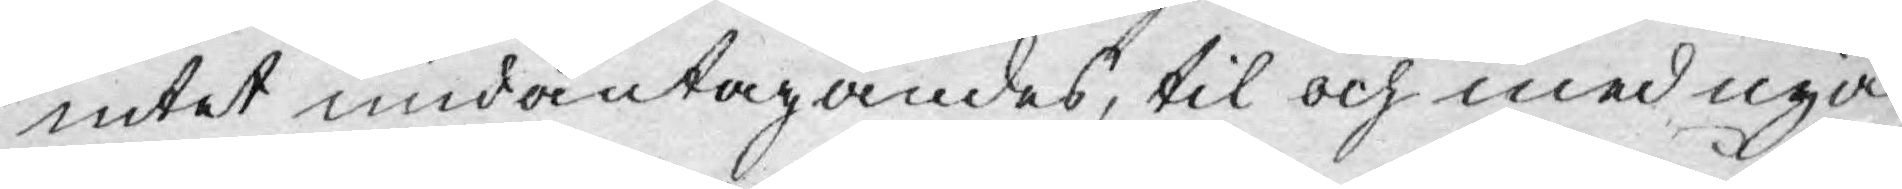intet undantagandes, til och med nya
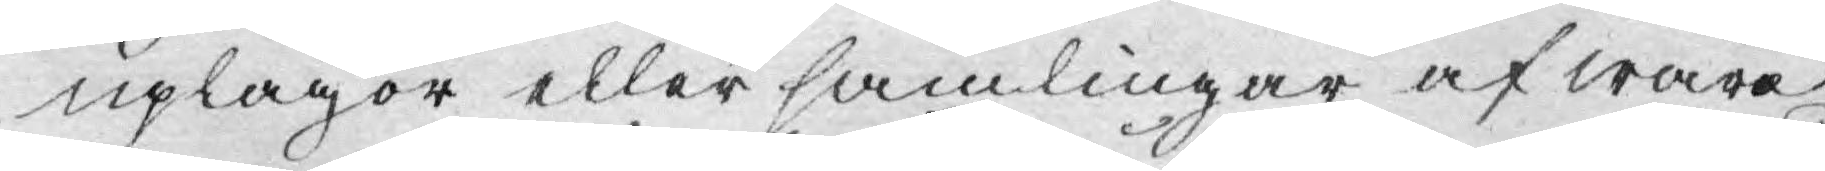uplagor eller samlingar af wåra
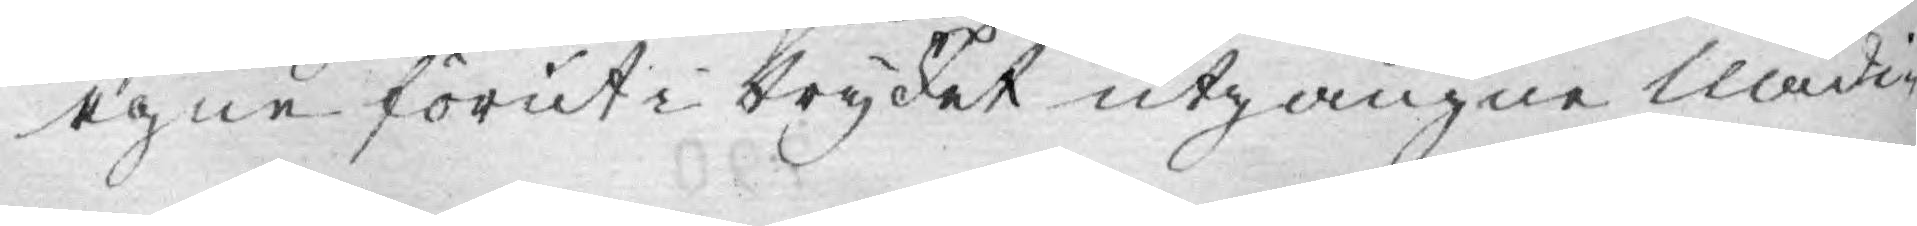egne förut i trycket utgångne Nådig¬
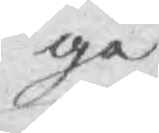ge
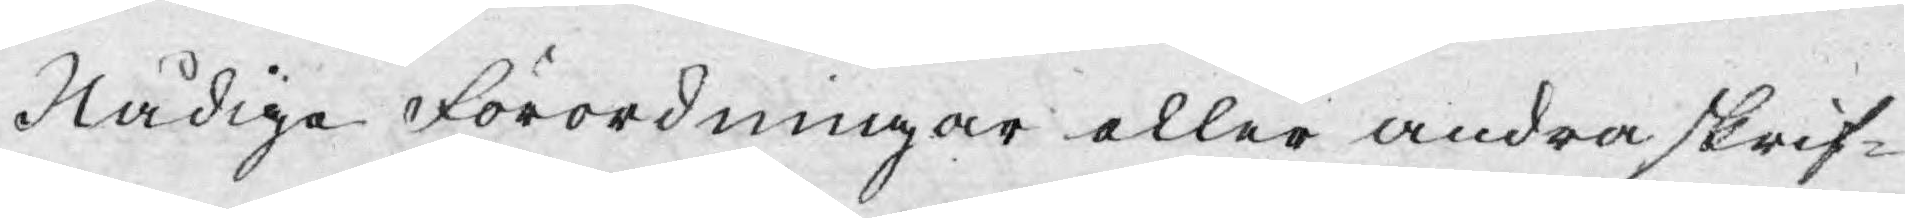Nådige Förordningar eller andra skrif¬
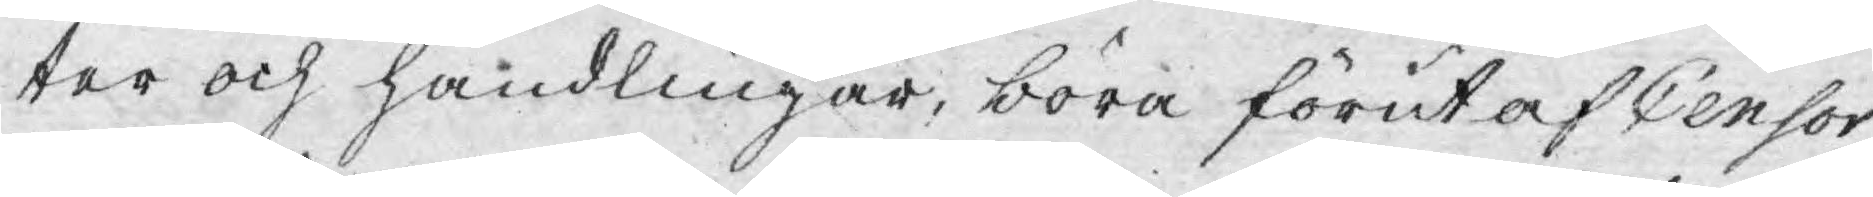ter och handlingar, böra förut af Censor
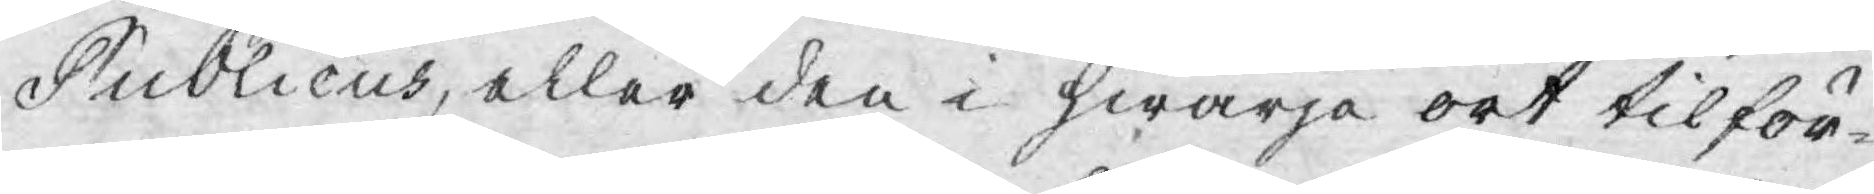Publicus, eller den i hwarje ort tilför¬
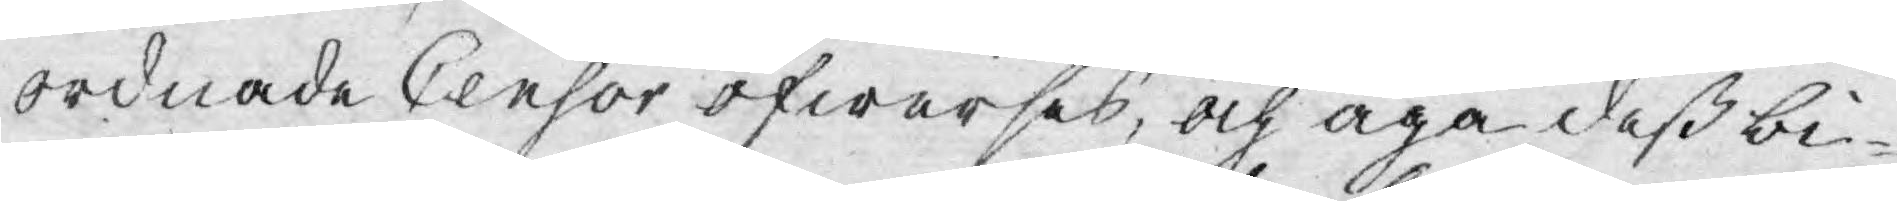ordnade Censor öfwerses, och äga deß bi¬
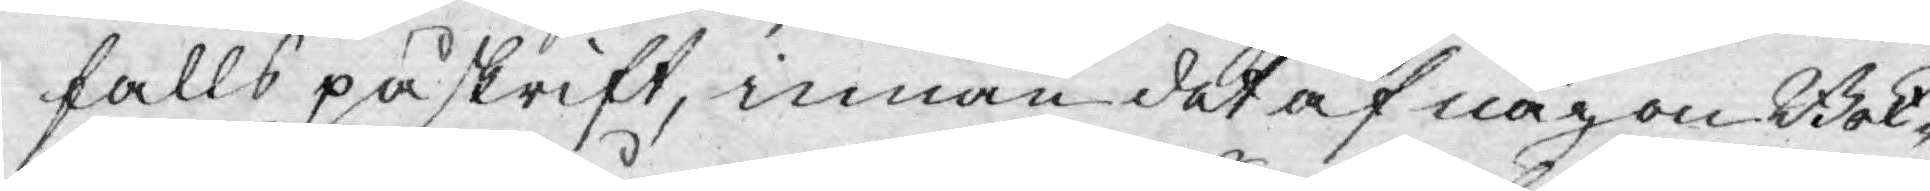falls påskrift, innan det af någon Bok¬
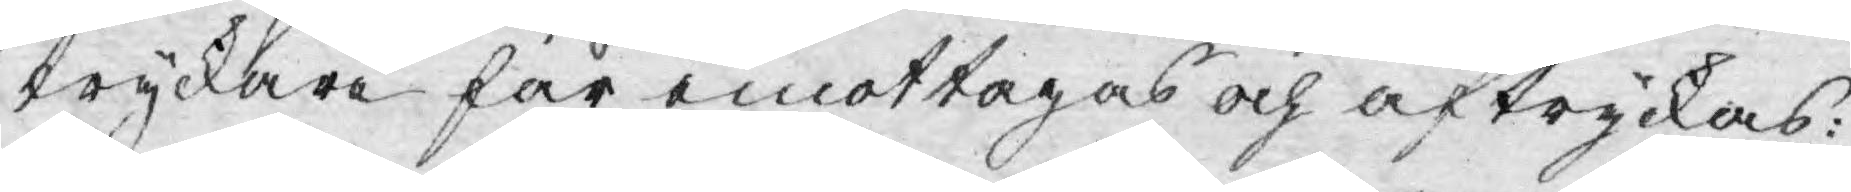tryckare får emottagas och aftryckas:
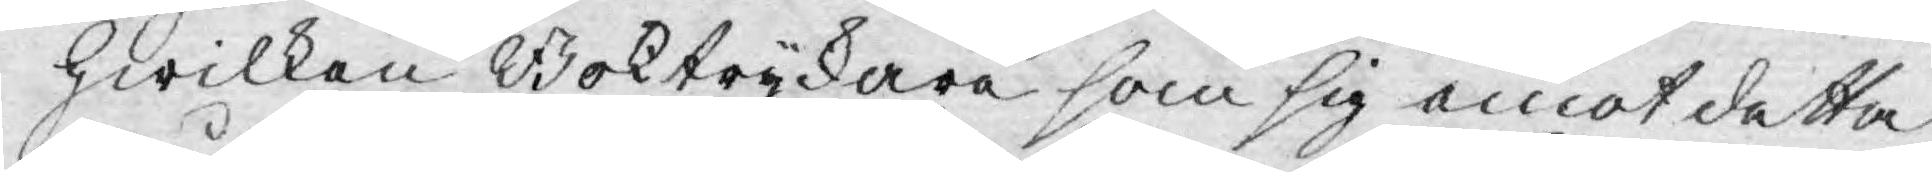Hwilken Boktryckare som sig emot detta
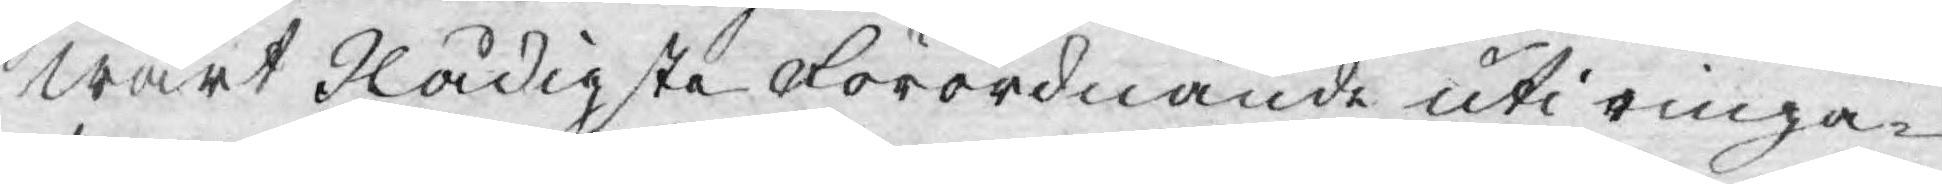Wårt Nådigste Förordnande uti ringa¬
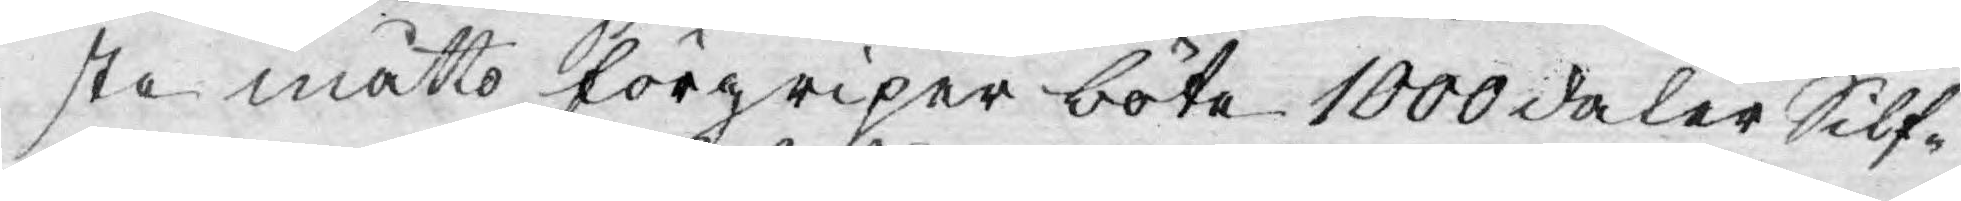ste måtto förgriper böta 1000 daler Silf¬
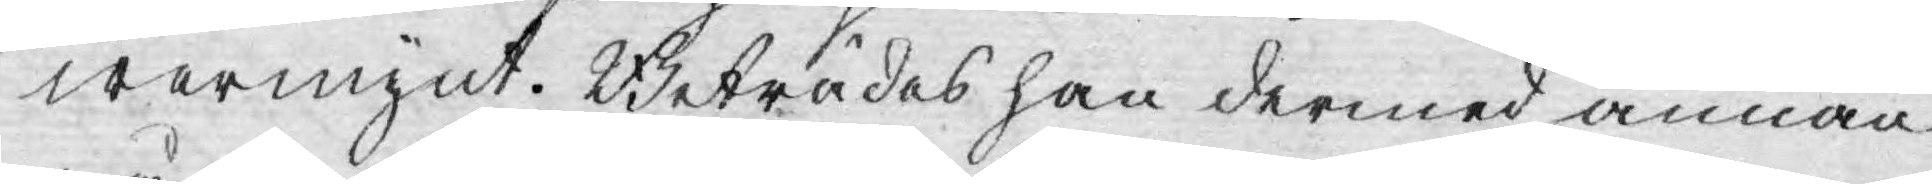wermynt. Beträdes han dermed annan
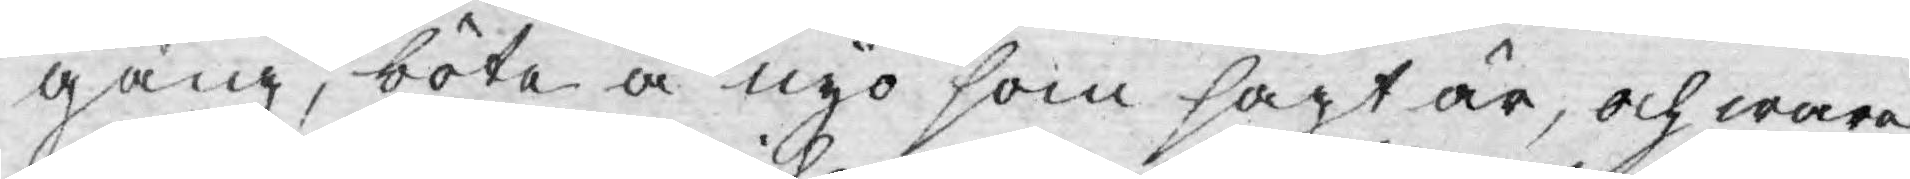gång, böta å nyo som sagt är, och ware
